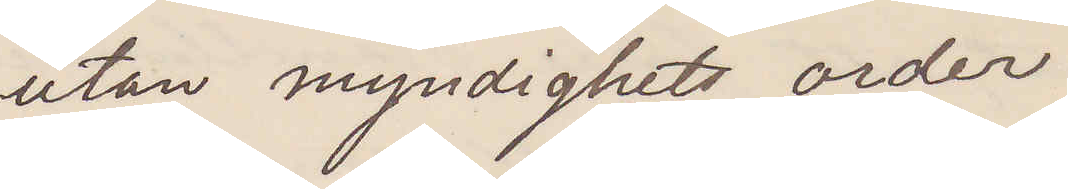utan myndighets order.
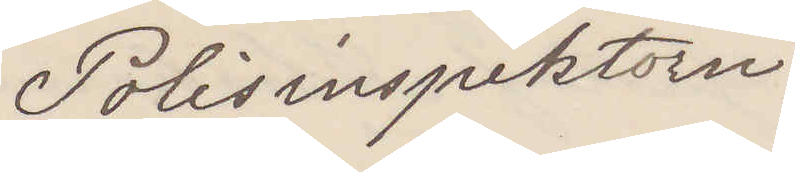Polisinspektorn.
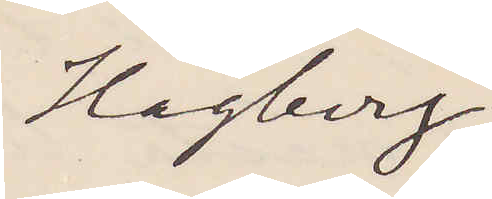Hagberg
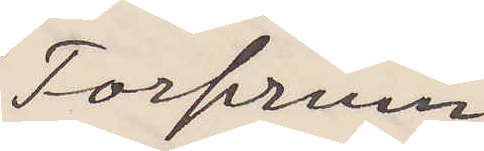Forserum.
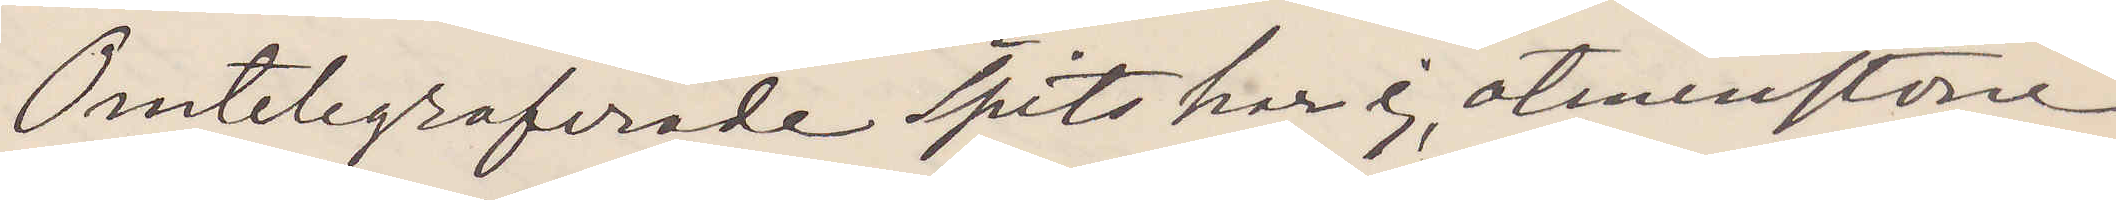Omtelegraferad Spets har ej, åtminstone
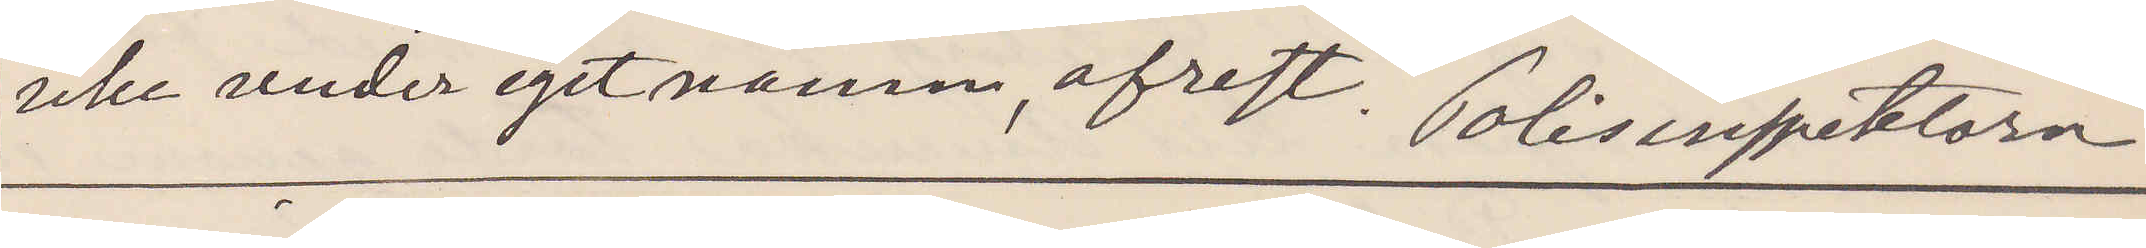icke under eget namn, afrest. Polisinspektorn.
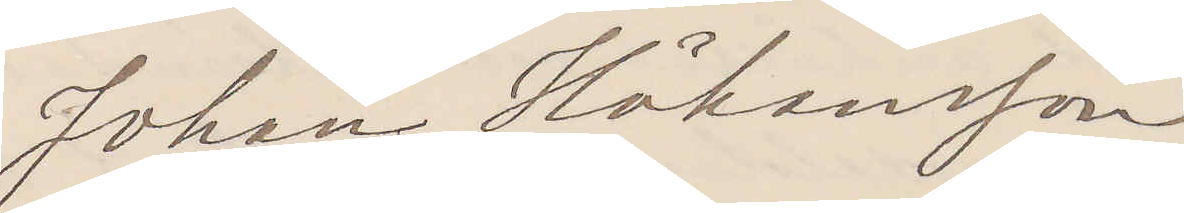Johan Håkansson
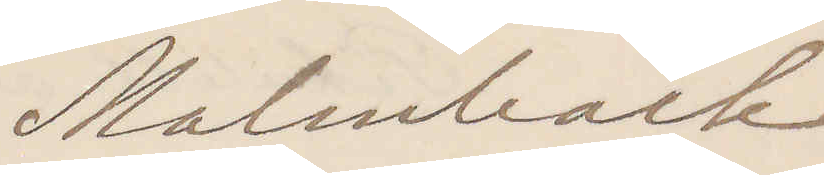Malmbäck.
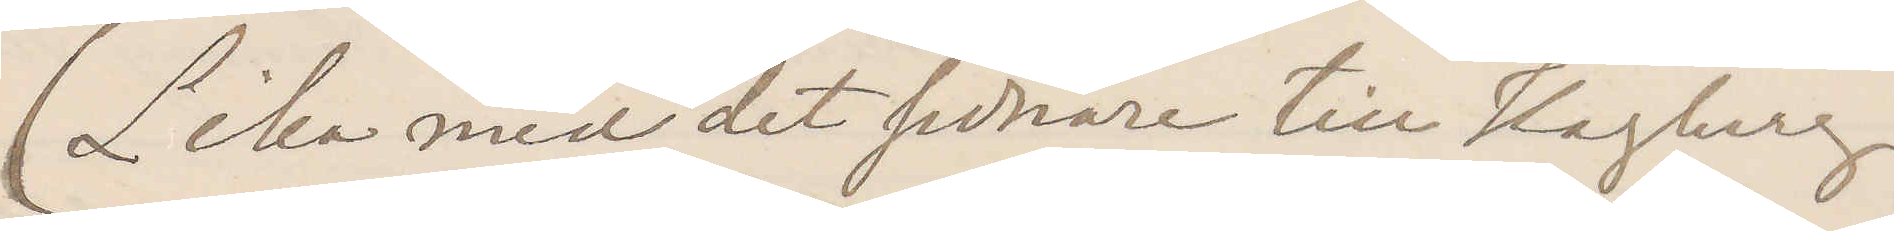(Lika med det sednare till Hagberg.)
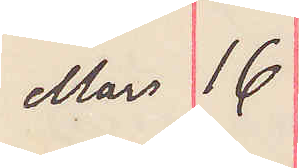Mars 16
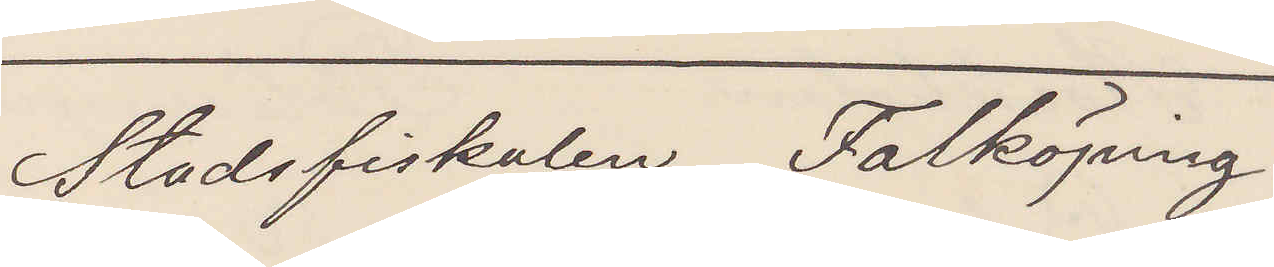Stadsfiskalen Falköping
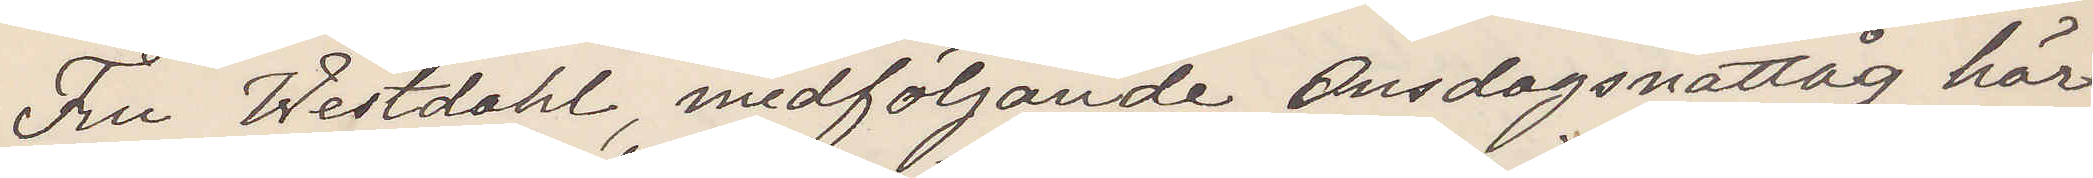Fru Westdahl, medföljande Onsdagsnattåg här¬
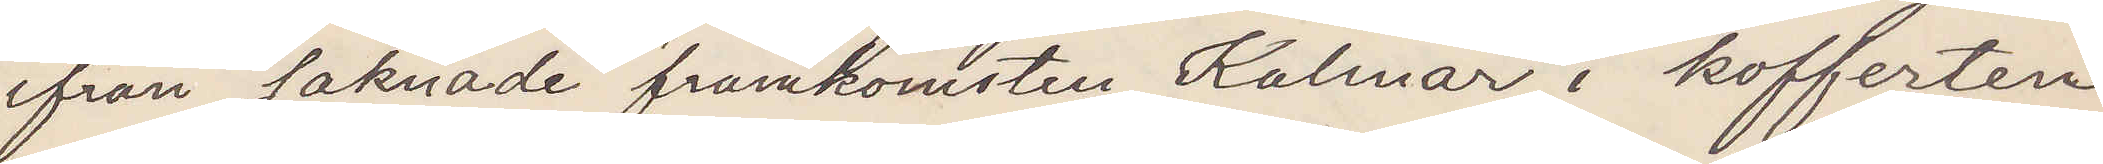ifrån saknade framkomsten Kalmar i kofferten
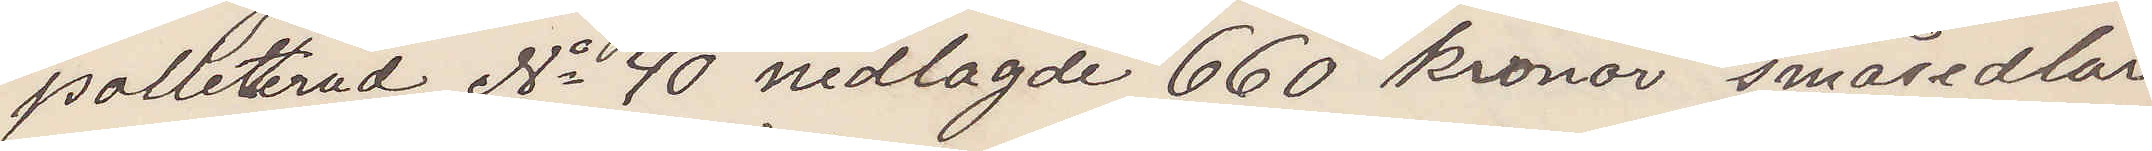polleterad No 40 nedlagde 660 kronor småsedlar
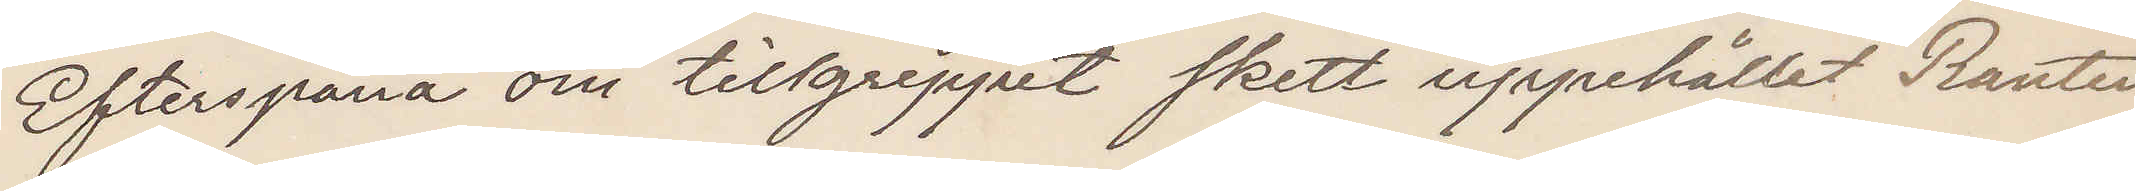Efterspana om tillgreppet skett uppehållet Ranten
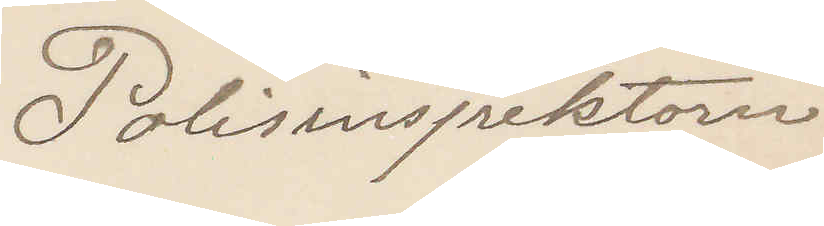Polisinspektorn
